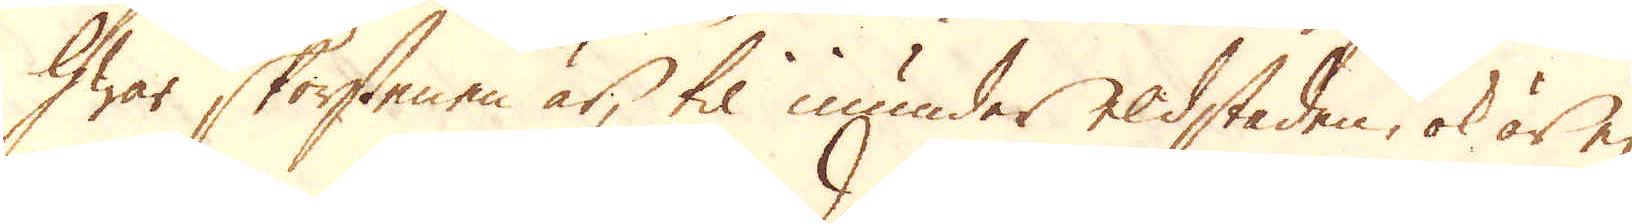hwar skorstenen är, til inunder eldstaden, ok är ej
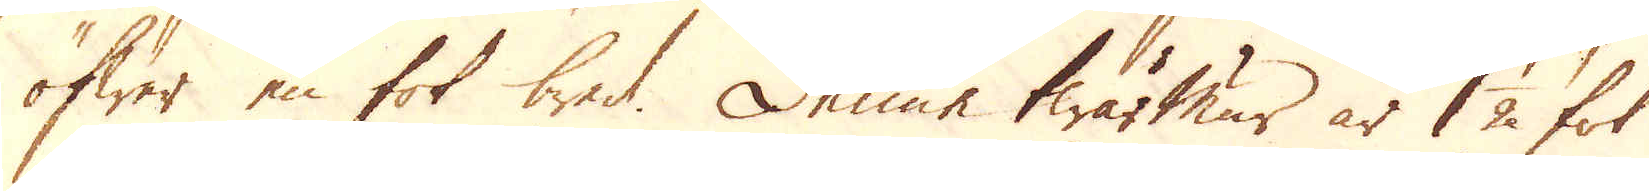öfwer en fot bred. Denne twärmur är 1 1/2 fot
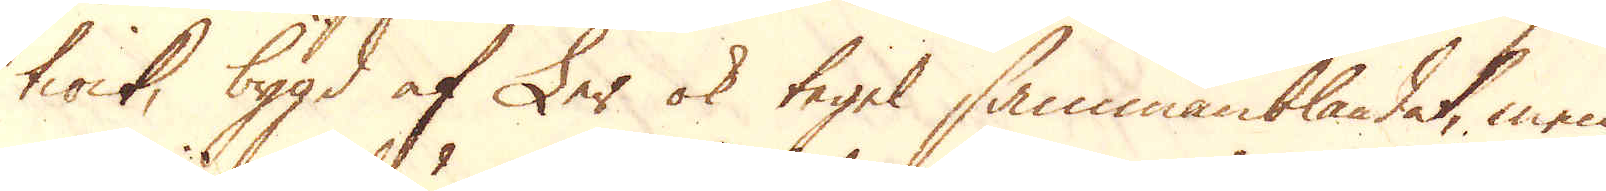tiock, bygd af Ler ok tegel sammanblandat, men
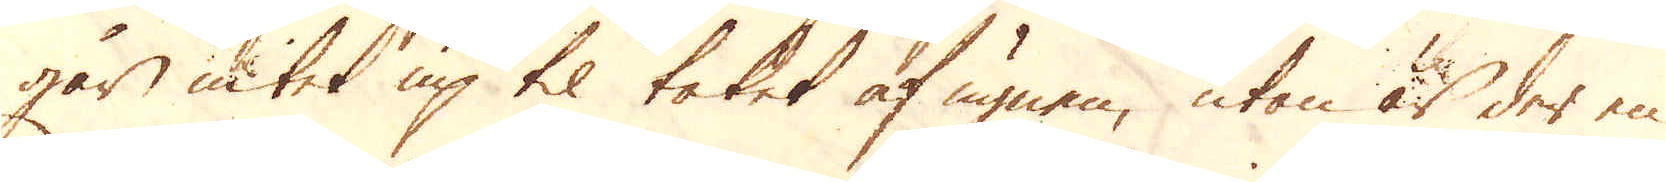går intet up til taket af ugnen, utan är der en
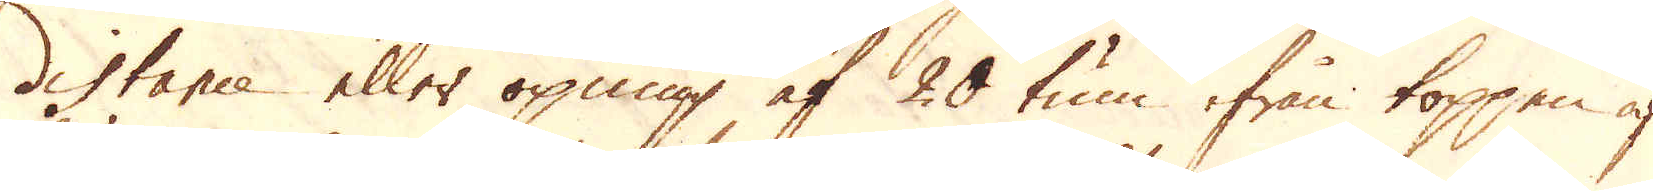distance eller öpning af 20 tum ifrån toppen af
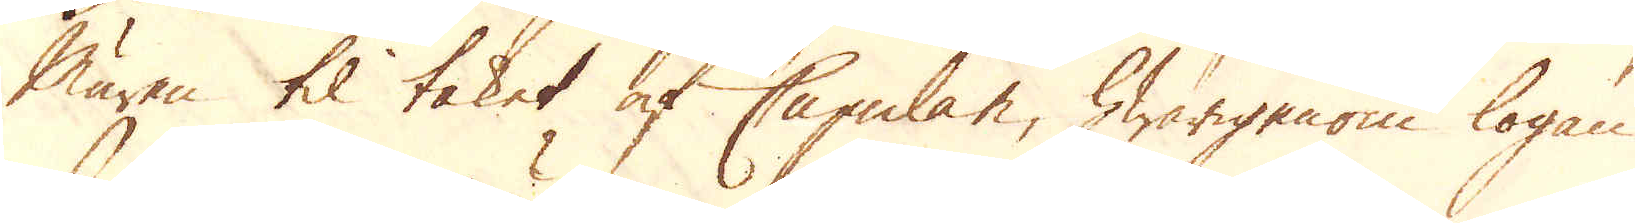Muren til taket af Cupulan, hwarigenom logan
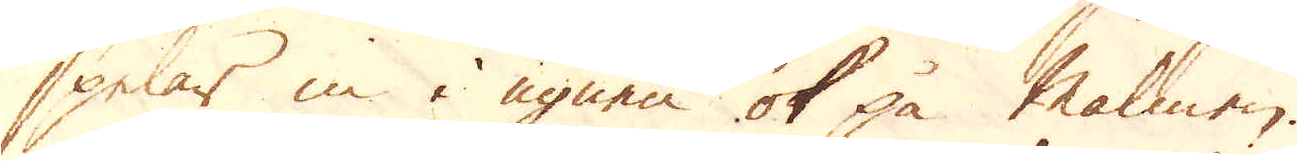spelar in i ugnen ok på Malmen.
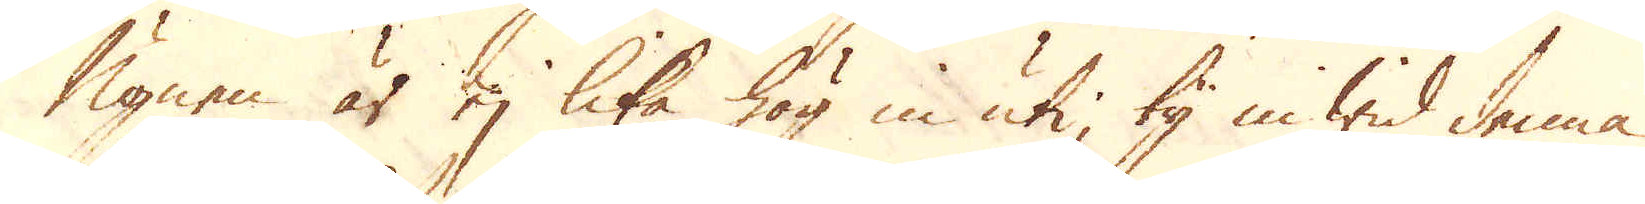Ugnen är ej lika hög in uti, ty in wid denna
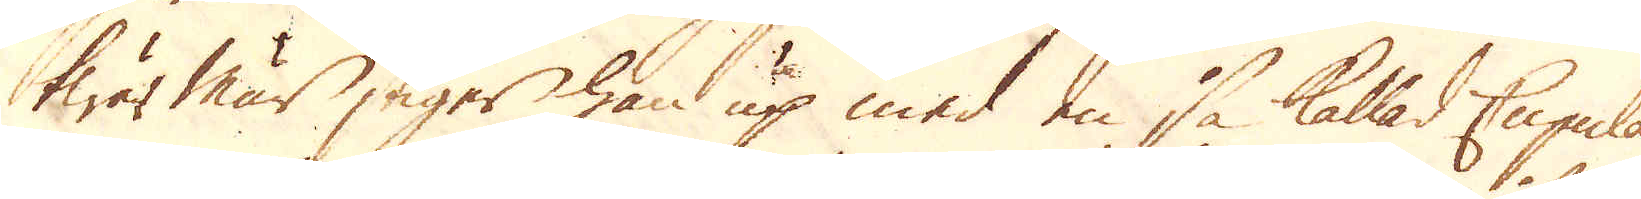twär mur stiger han up med en så kallad Cupula
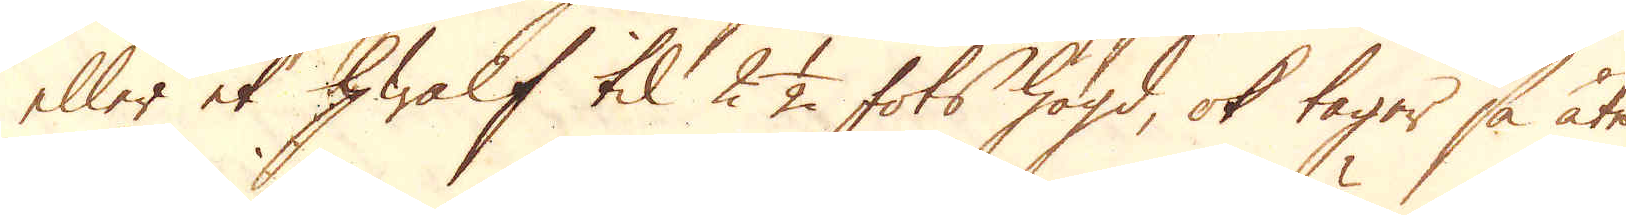eller et hwalf til 2 1/2 fots högd, ok tager så åter
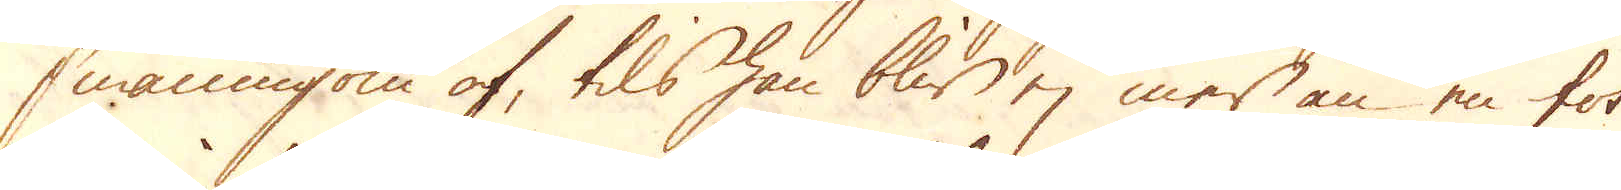småningom af, tils han blir ej mer än en fot
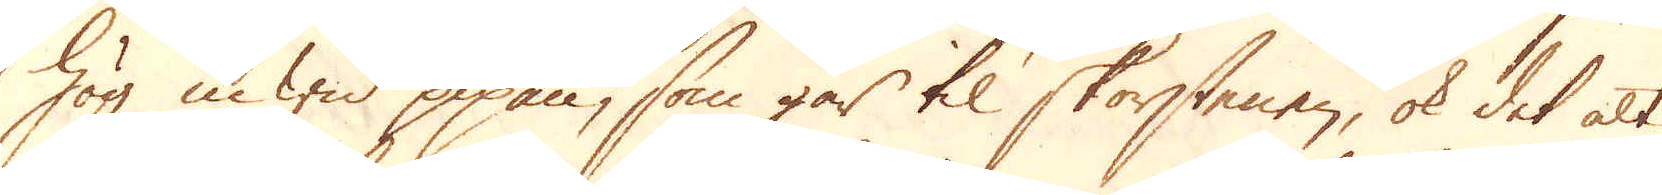hög in wid pipan, som går til skorstenen, ok det alt
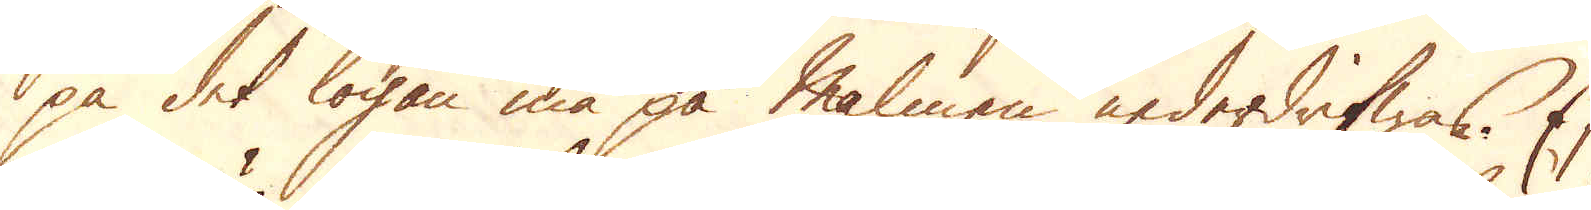på det logan må på Malmen nederdrifwas. Ej
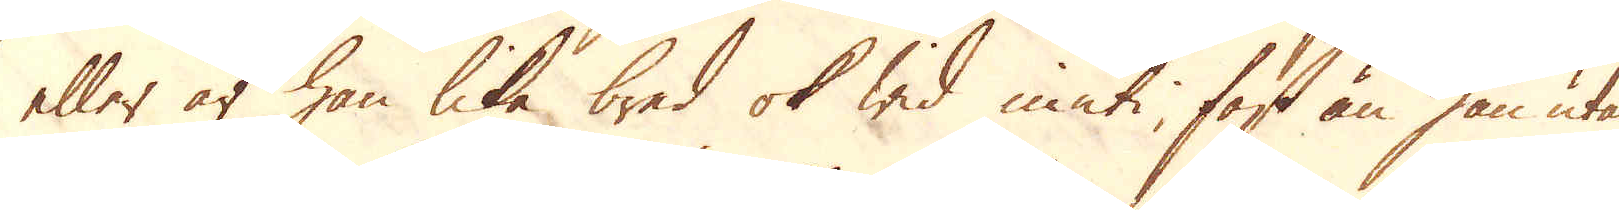eller är han lika bred ok wid inuti, fast än han utan
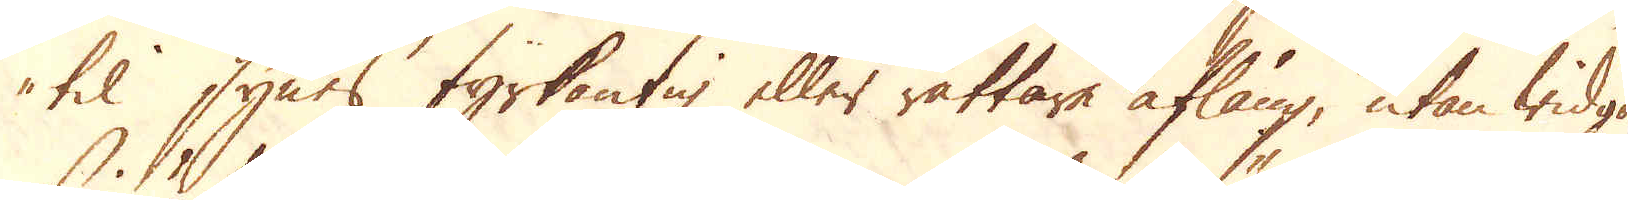til synes fyrkantig eller rättare aflång, utan widgar
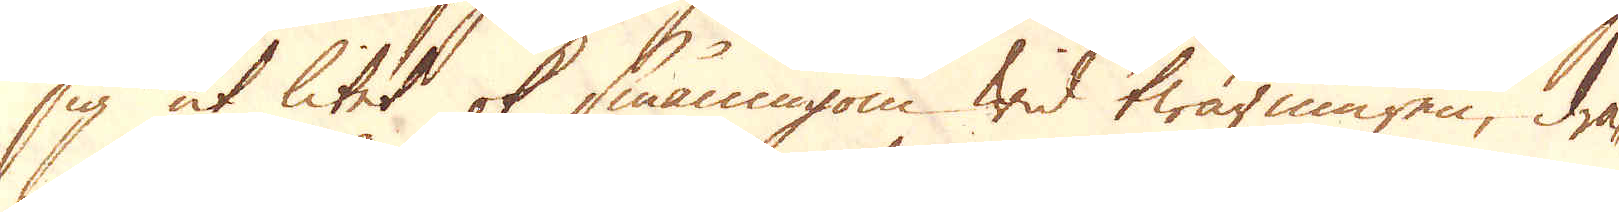sig ut litet ok småningom wid twärmären, dra-
